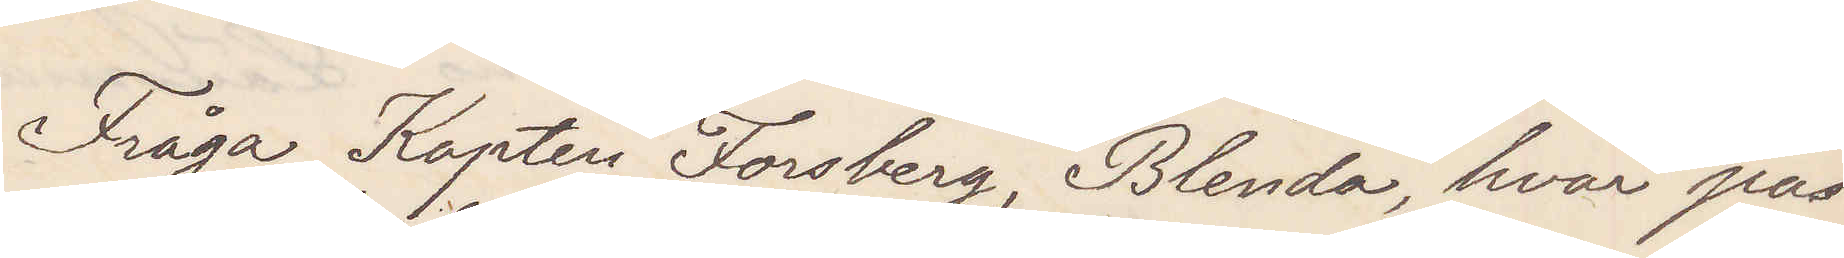Fråga Kapten Forsberg, Blenda, hvar pas¬
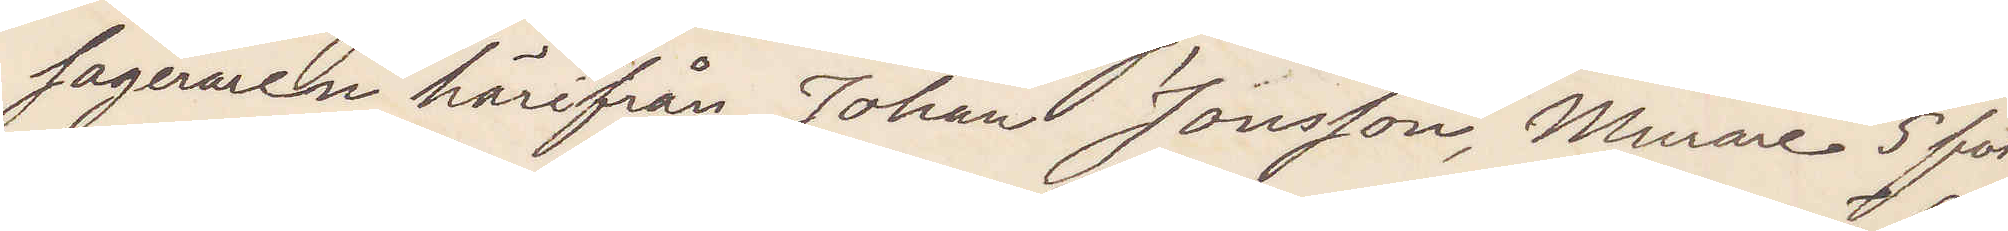sageraren härifrån Johan Jonsson, Murare 5 fot
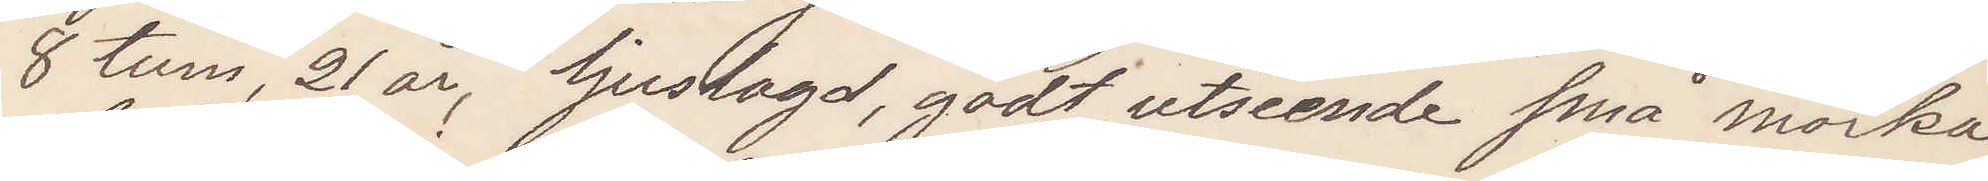8 tum, lång 21 år, ljuslagd, godt utseende små mörka
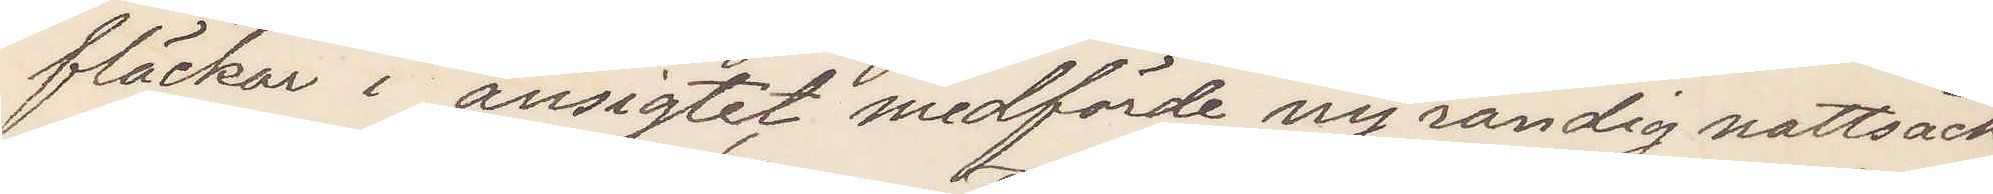fläckar i ansigtet medförde ny randig nattsäck
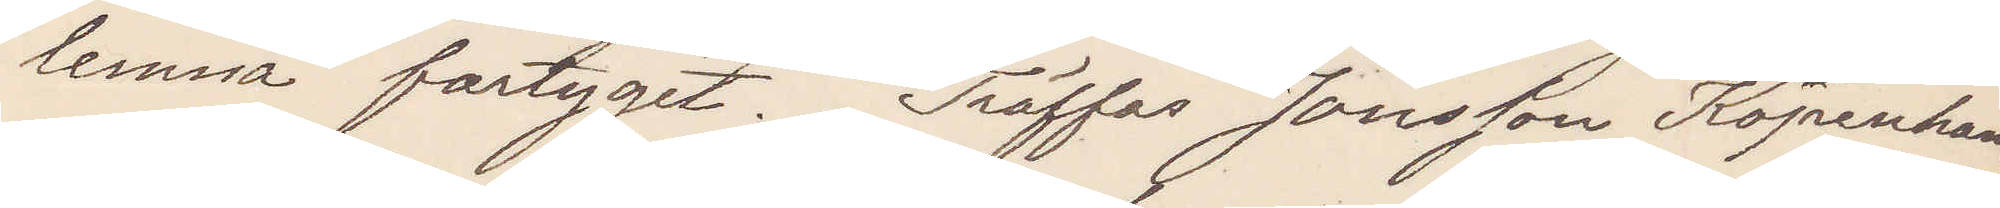lemna fartyget. Träffas Jonsson Köpenhamn
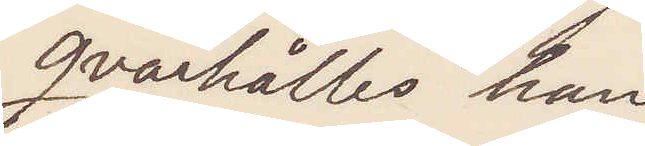qvarhålles han
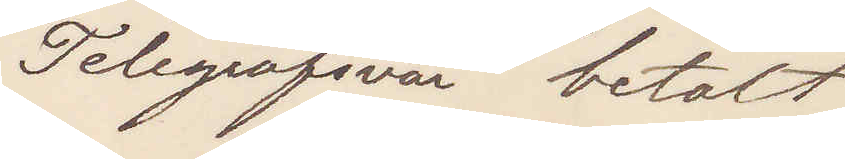Telegrafsvar betalt
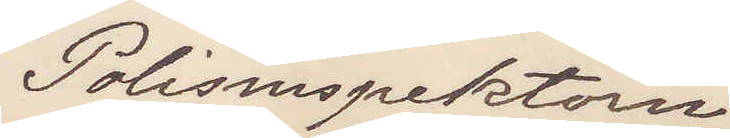Polisinspektorn.
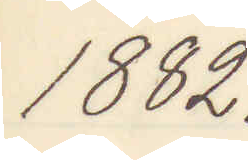1882.
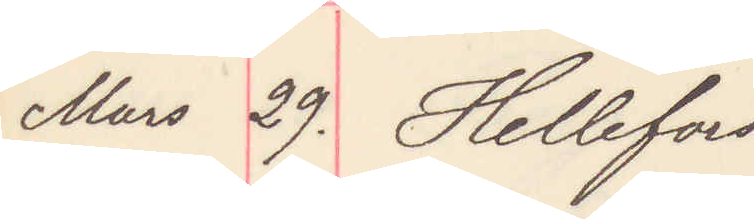Mars 29. Hellefors
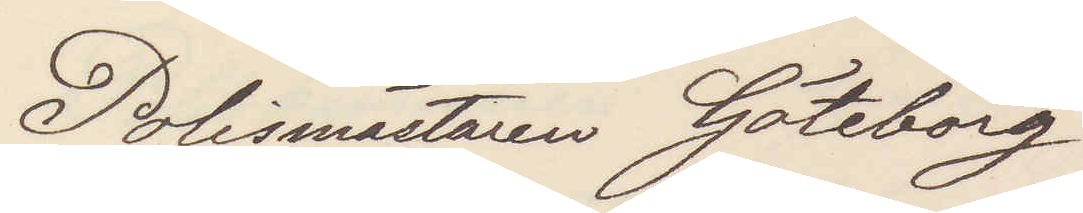Polismästaren Göteborg
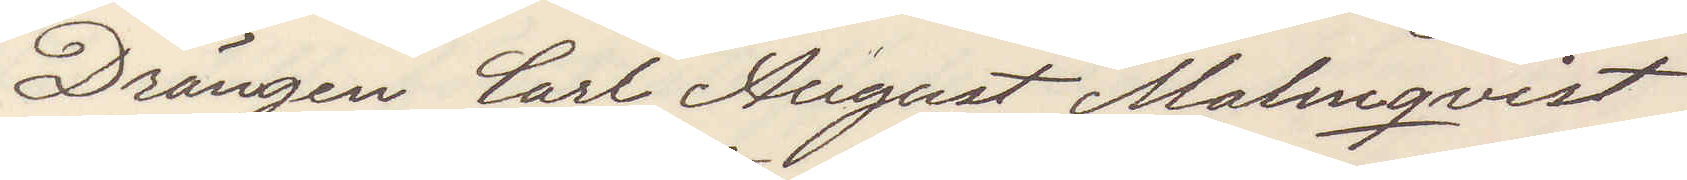Drängen Carl August Malmqvist
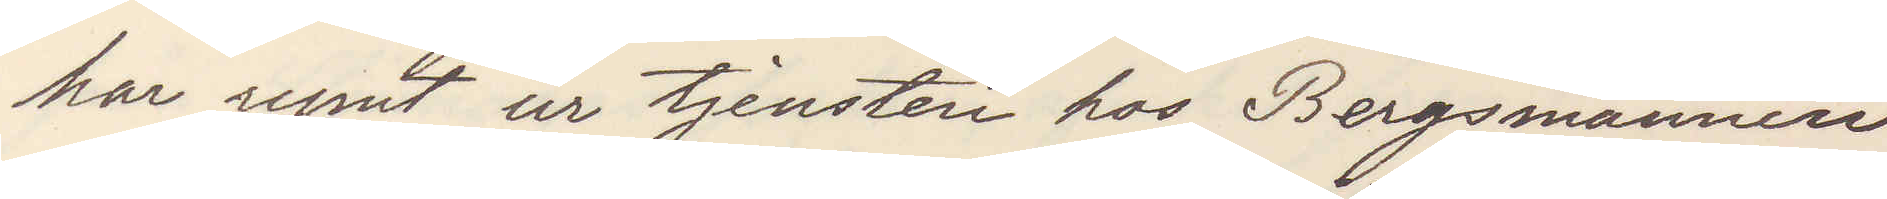har rymt ur tjensten hos Bergsmannen
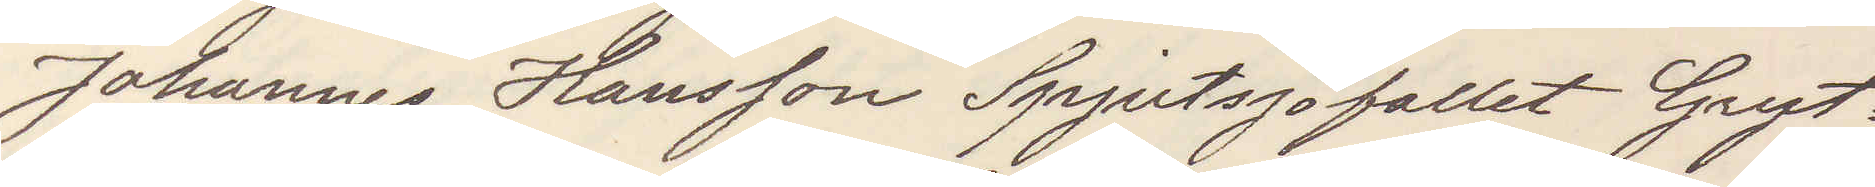Johannes Hansson Spjutsjöfallet Gryt¬
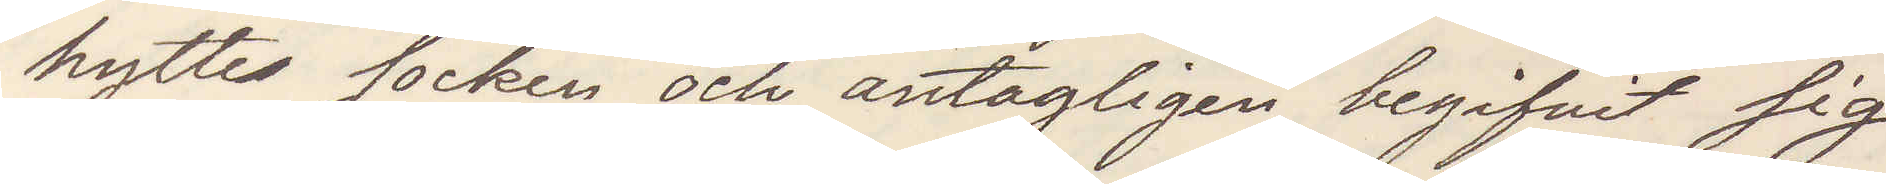hytte socken och antagligen begifvit sig
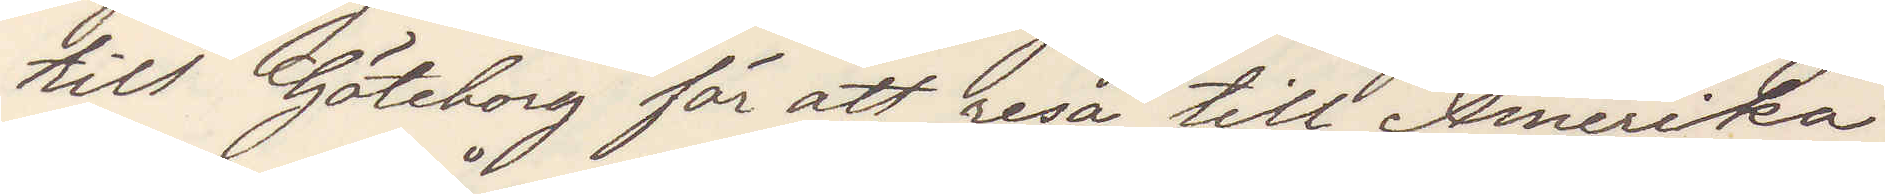till Göteborg för att resa till Amerika
